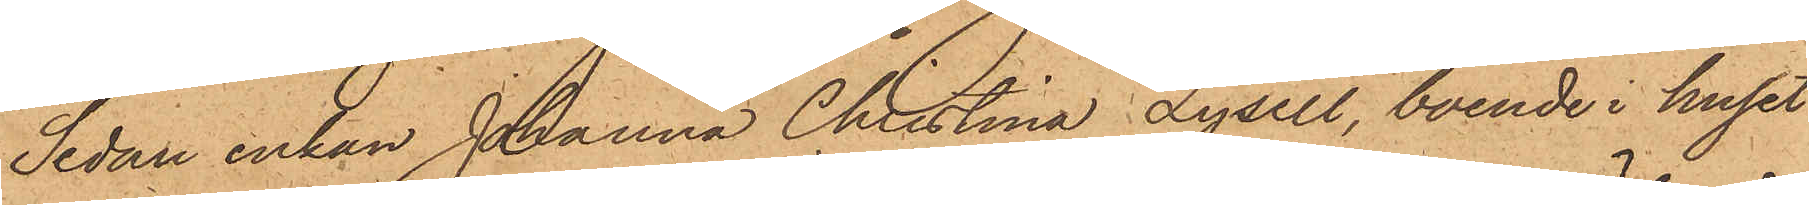Sedan enkan Johanna Christina Lysell, boende i huset
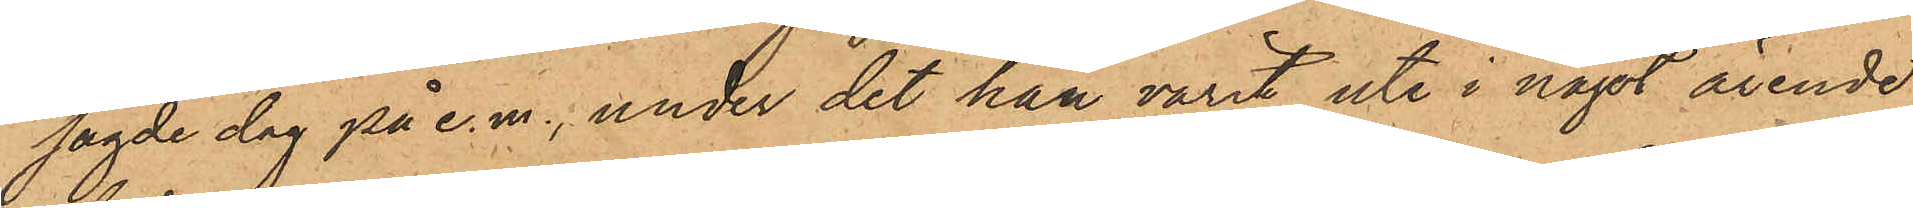sagde dag på e. m., under det hon varit ute i något ärende
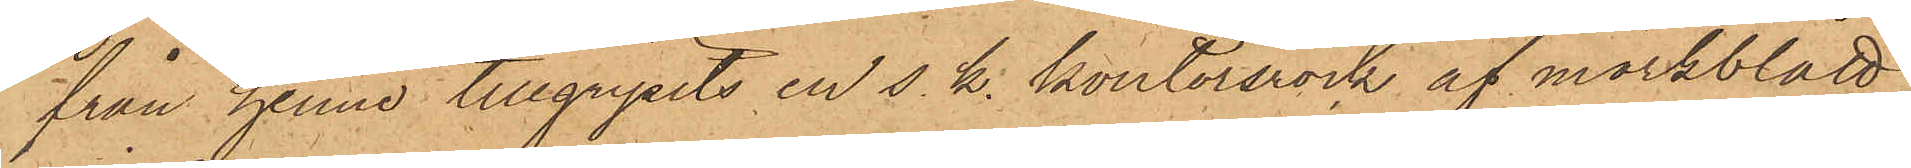från henne tillgripits en s. k. kontorsrock af mörkblått
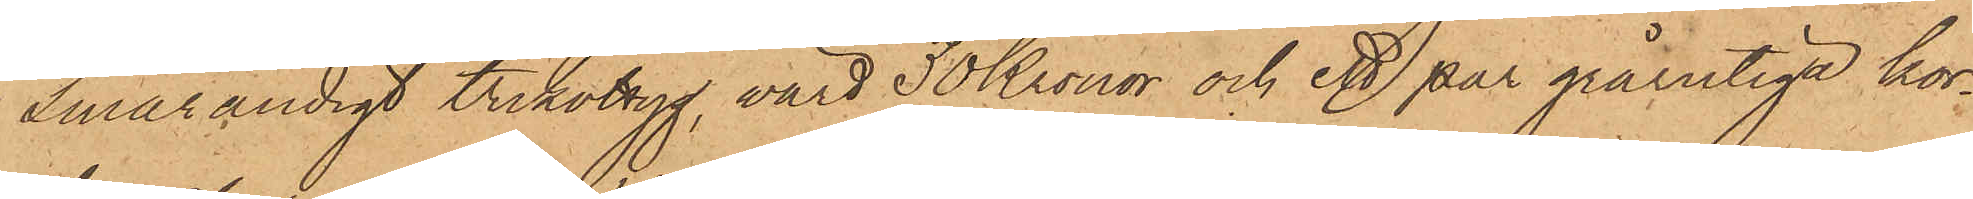Smårandigt trikottyg, värd 30 Kronor och ett par grårutiga kor¬
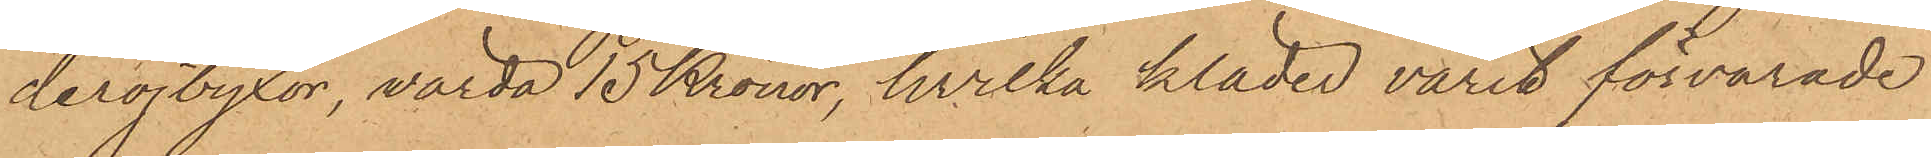derojbyxor, värda 15 Kronor, hvilka kläder varit förvarade
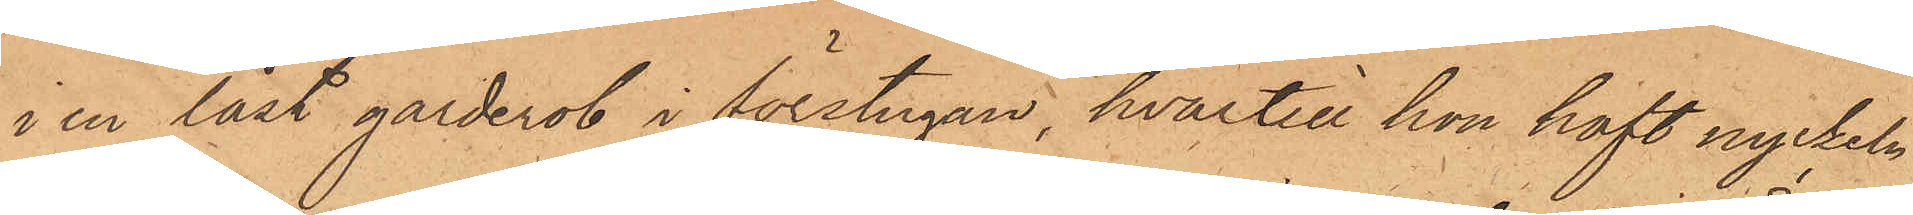i en låst garderob i förstugan, hvartill hon haft nyckeln
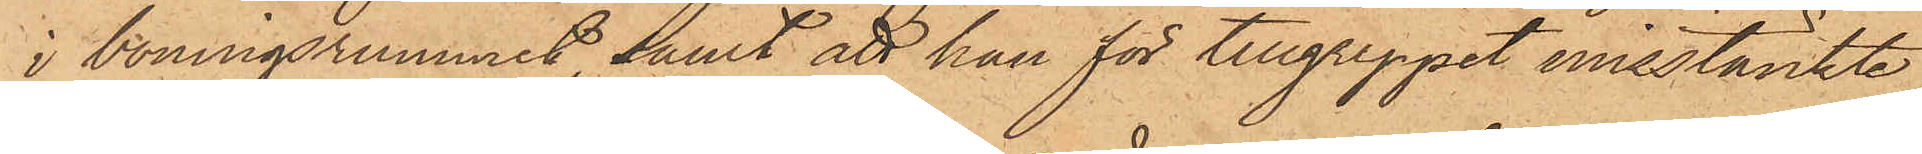i boningsrummet samt att han för tillgreppet misstänkte
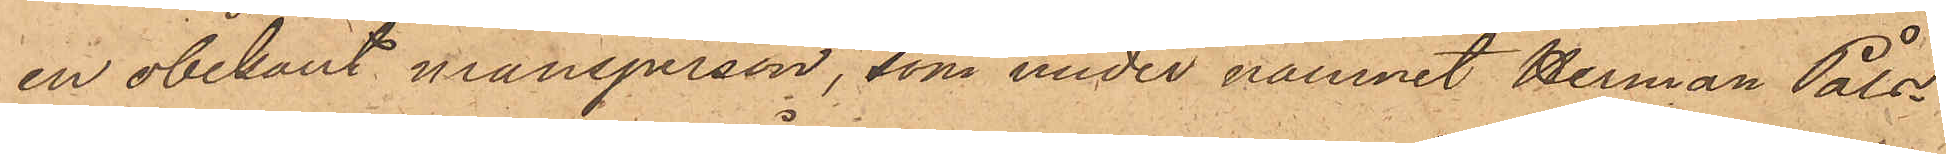en obekant mansperson, som under namnet Herman Påls¬
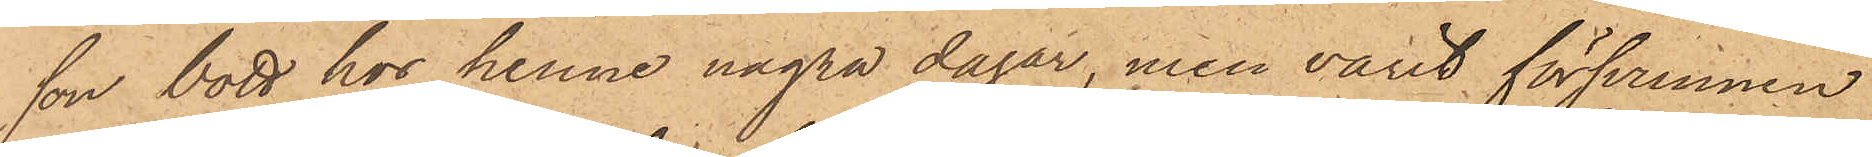son bott hos henne några dagar, men varit försvunnen
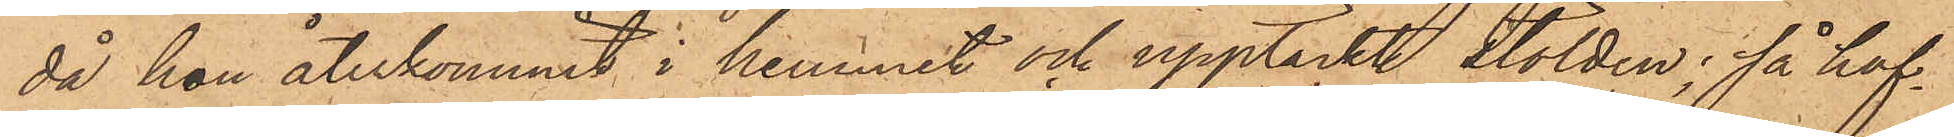då hon återkommit i hemmet och upptäckt stölden; så haf¬
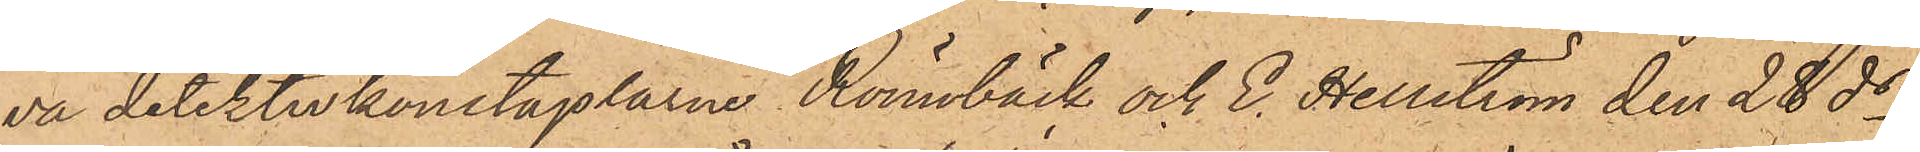va detektivkonstaplarne Rönnbäck och E. Hellström den 28 ds
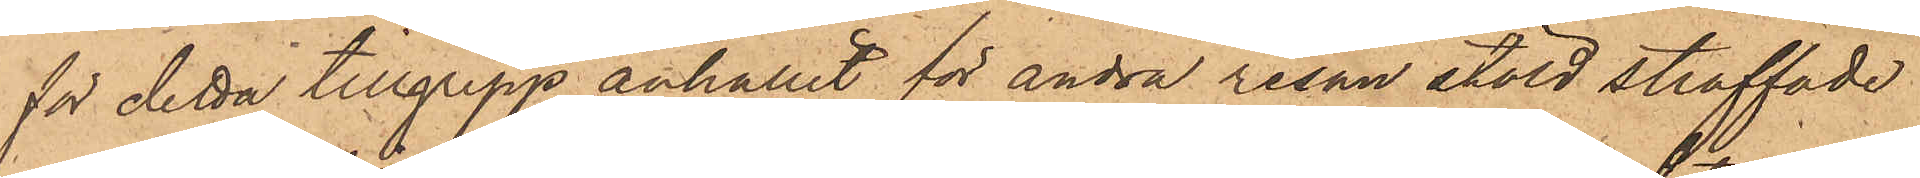för detta tillgrepp anhållit för andra resan stöld straffade
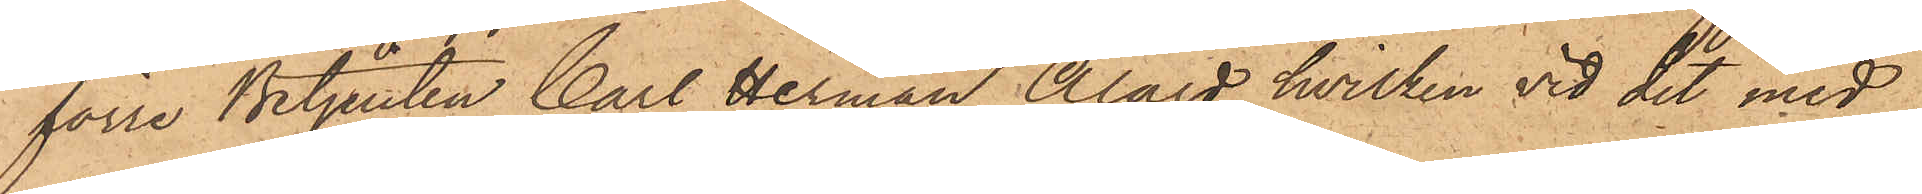förre Betjenten Carl Herman Alard, hvilken vid det med
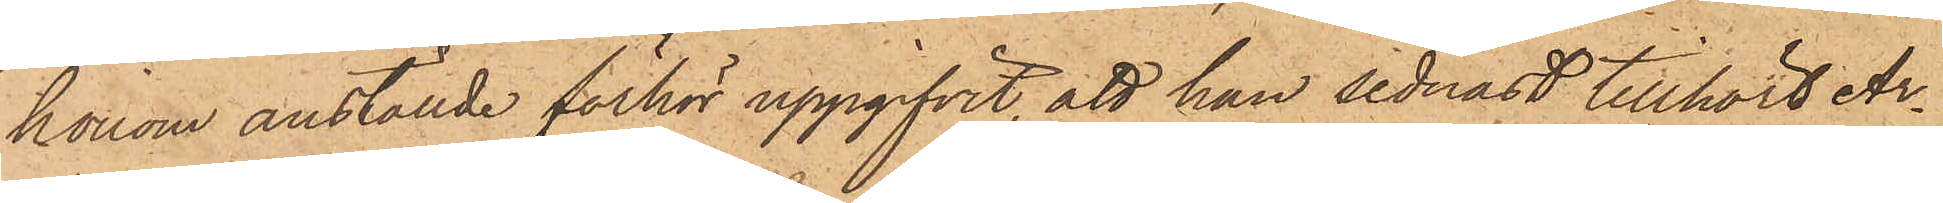honom anställde förhör uppgifvit, att han sednast tillhört Ar¬
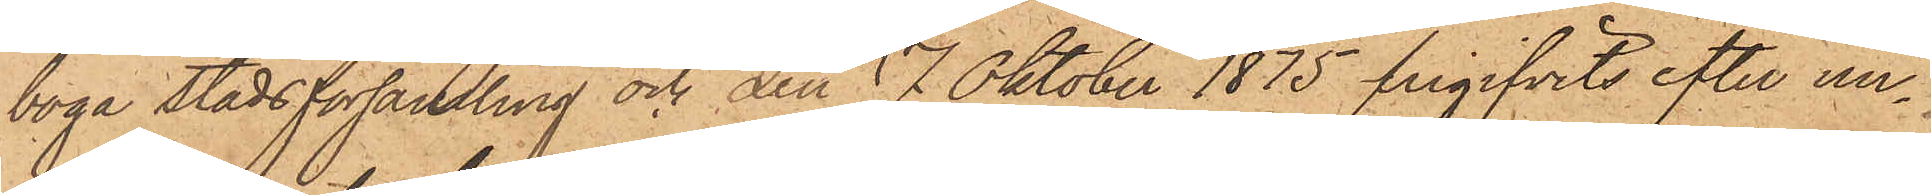boga stadsförsamling och den 17 Oktober 1875 frigifvits efter un¬
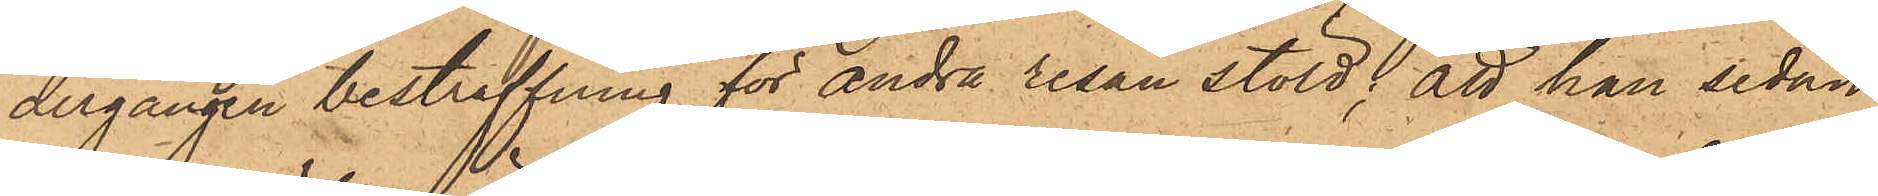dergången bestraffning för andra resan stöld; att han sedan
